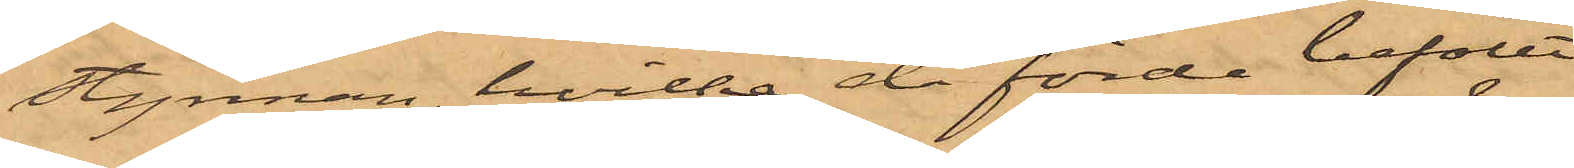Styrman, hvilka då förde befälet
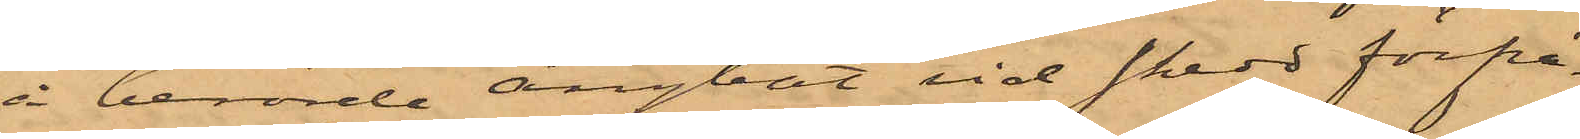å berörde ångbåt vid skedd förfrå¬
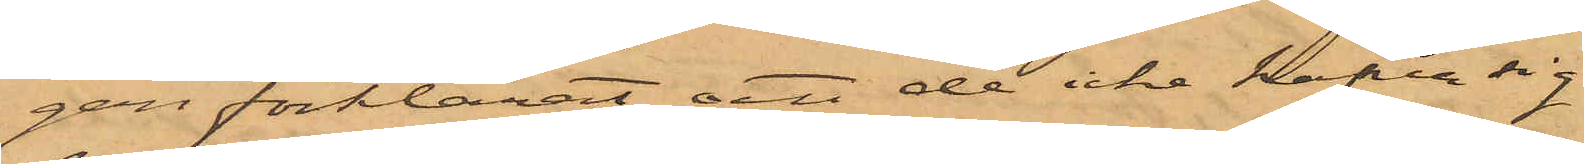gan förklarat, att de icke hafva sig
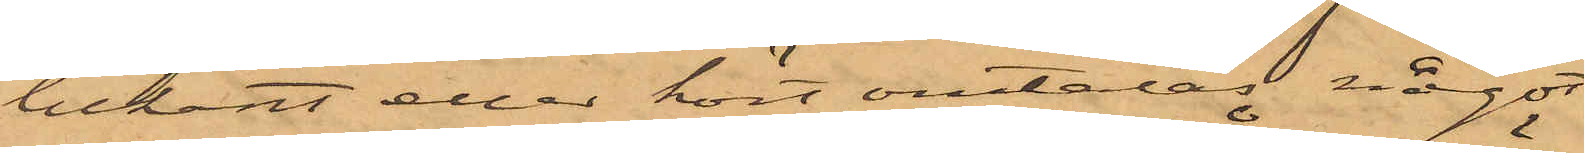bekant eller hört omtalas något
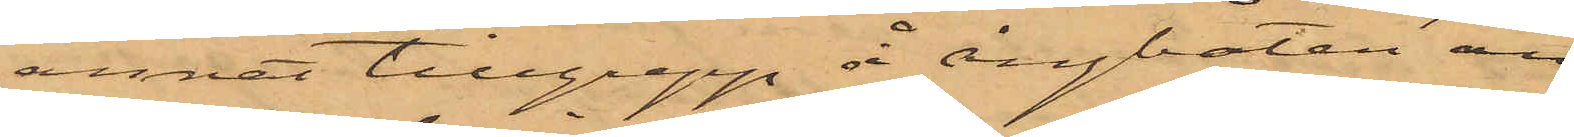annat tillgrepp å ångbåten än
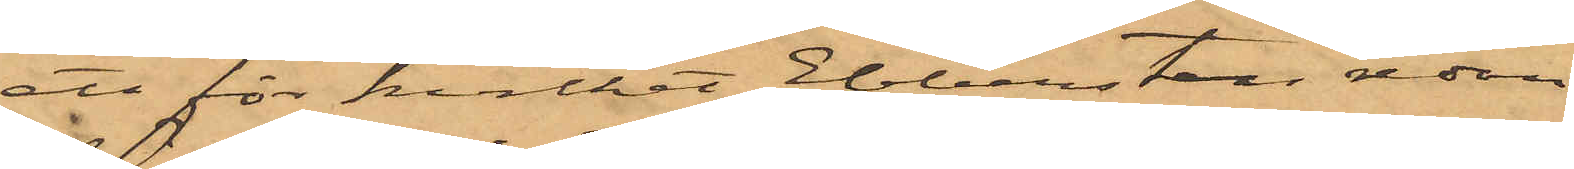ett för hvilket Ebbersten redan
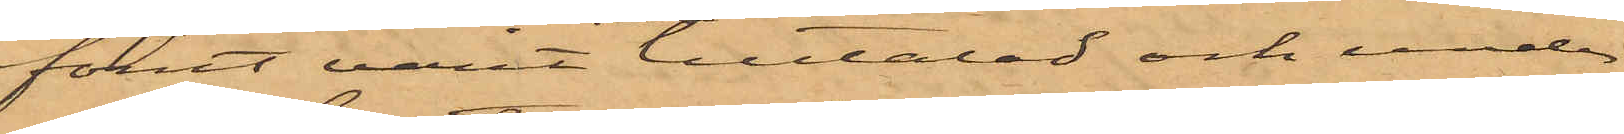förut varit tilltalad och under¬
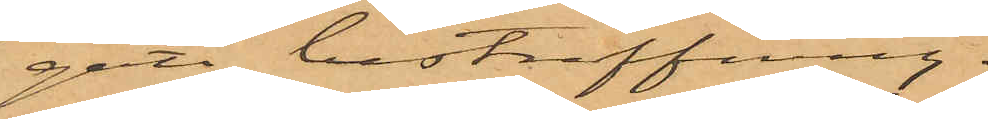gått bestraffning.
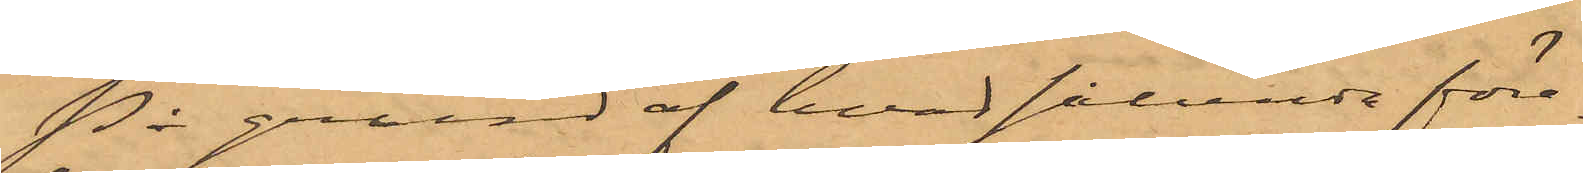På grund af hvad sålunda före¬
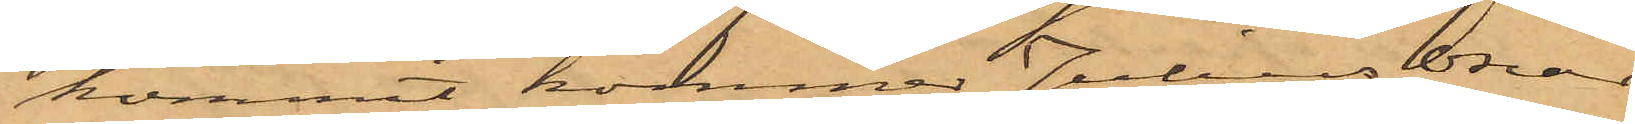kommit, kommer Julius Oscar
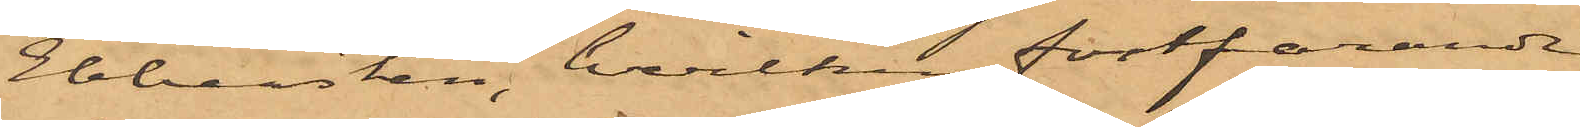Ebbersten, hvilken fortfarande
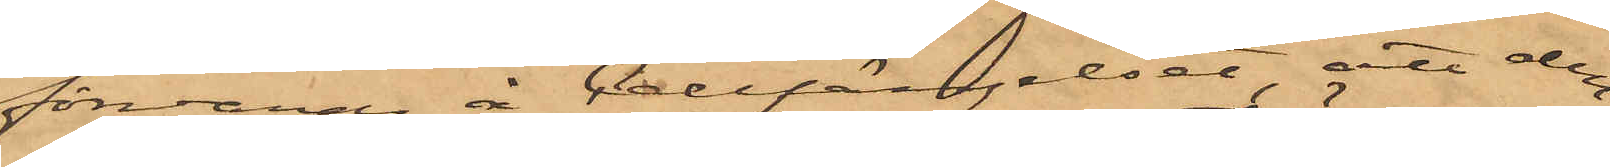förvaras å Cellfängelset, att den¬
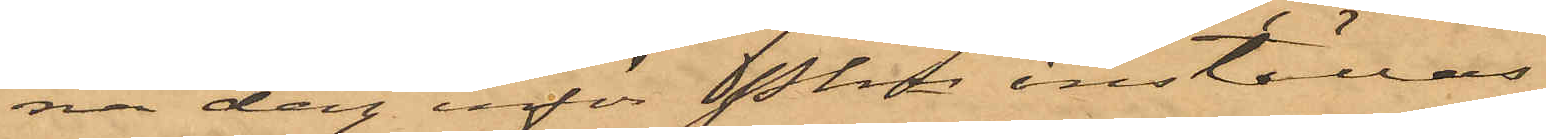na dag inför Pkn inställas.
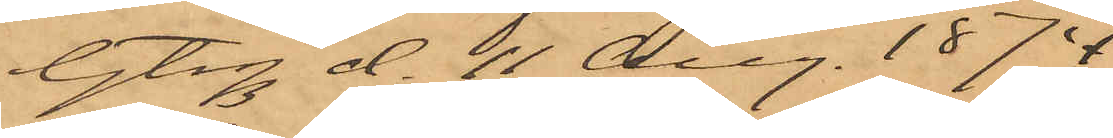Gtg d. 11 Aug. 1874.
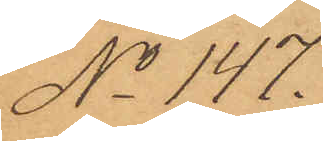No 147.
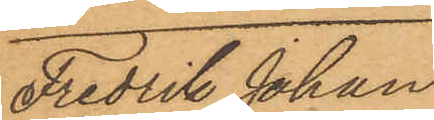Fredrik Johan
